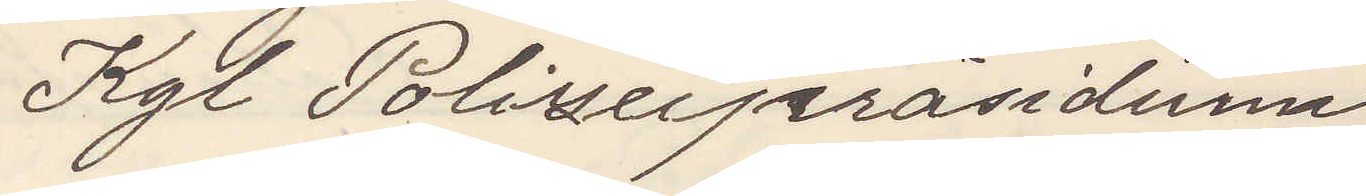Kgl Polizeipräsidium
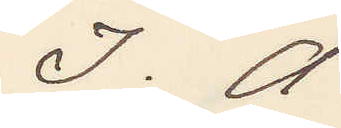I. A
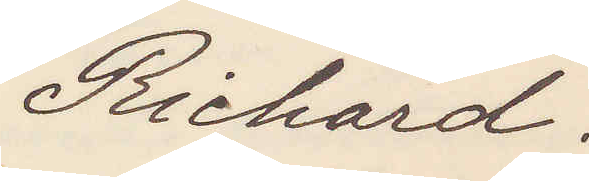Richard.
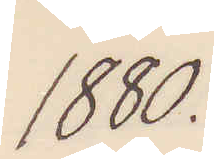1880.
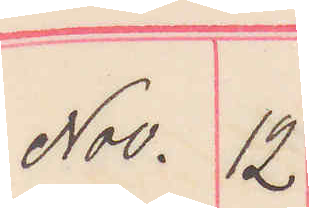Nov. 12
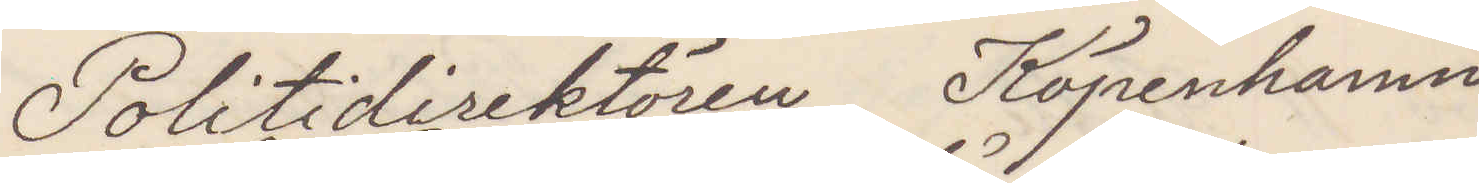Politidirektören Köpenhamn
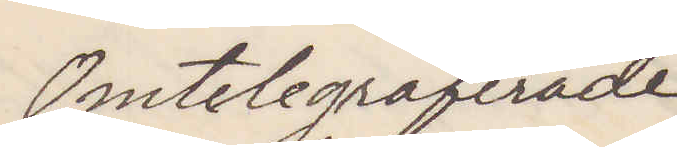Omtelegraferade
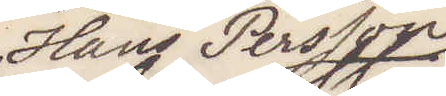Hans Persson
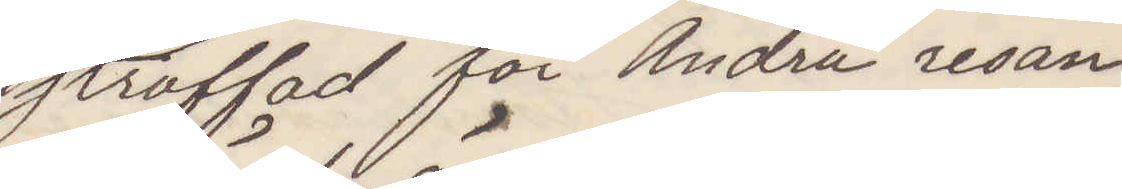straffad för Andra resan
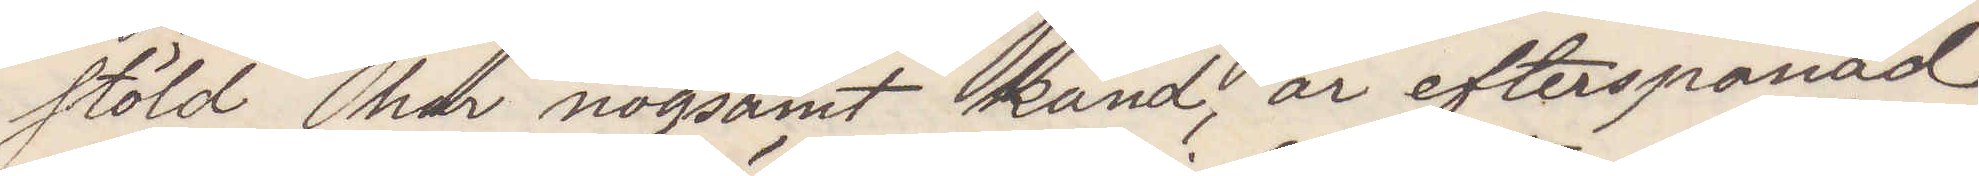stöld här nogsamt känd, är efterpanad
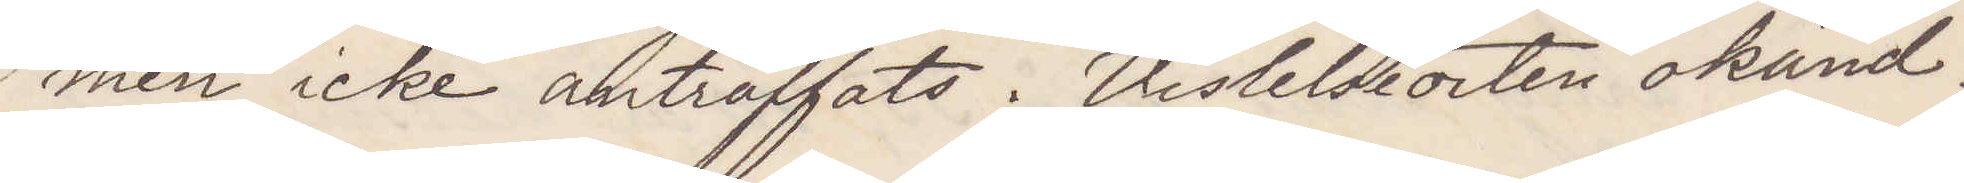men icke anträffats. Vistelseorten okänd.
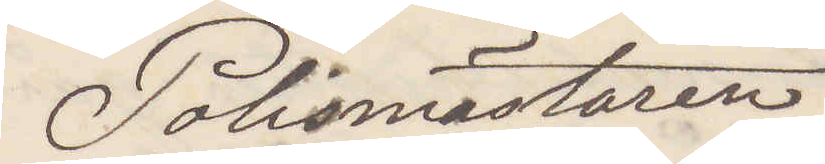Polismästaren
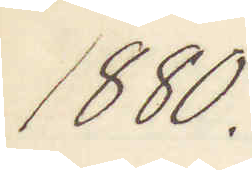1880.
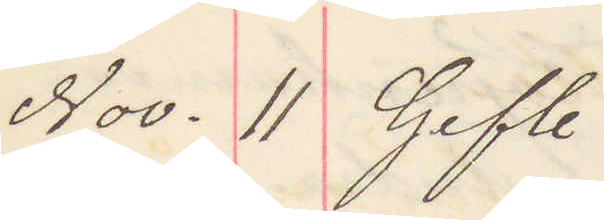Nov. 11 Gefle
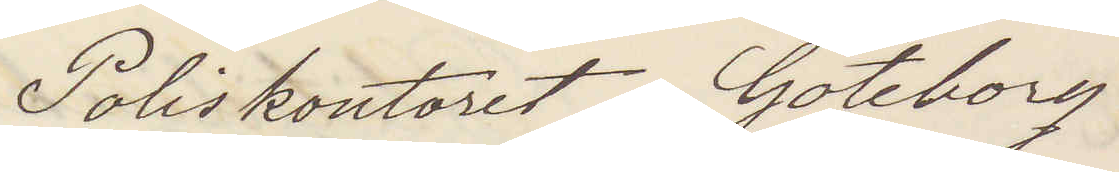Poliskontoret Göteborg
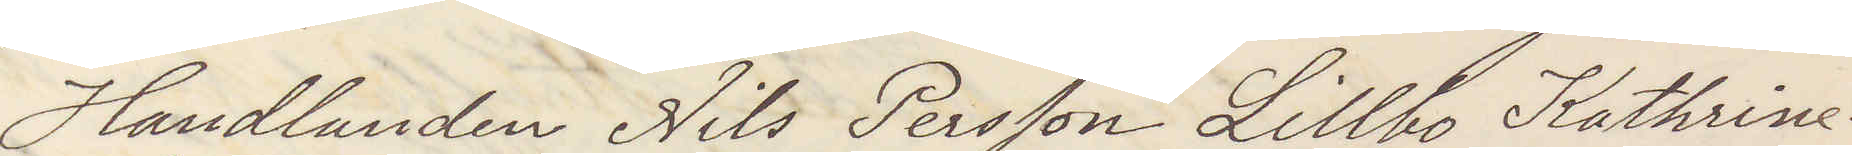Handlanden Nils Persson Lillbo Katrine¬
